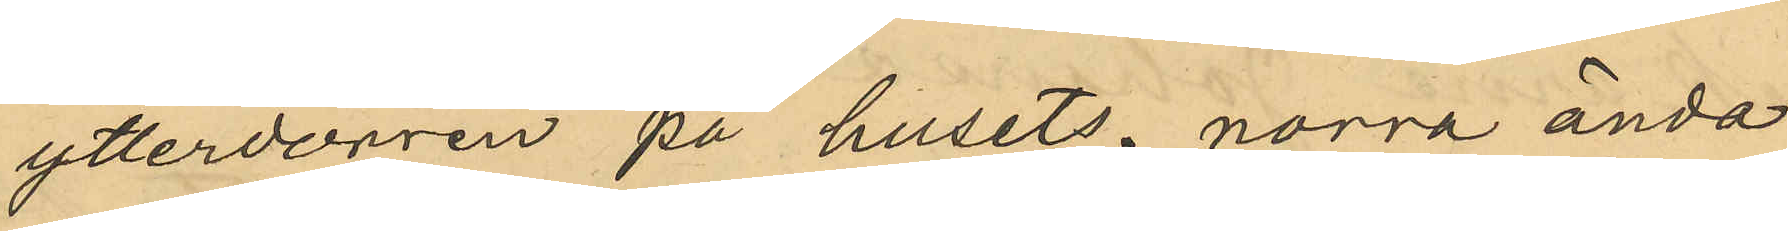ytterdörren på husets norra ända
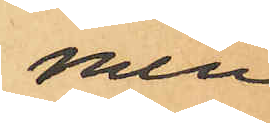men
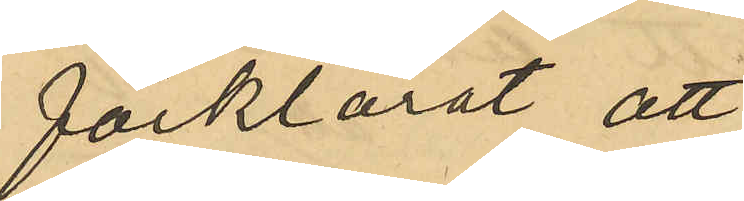förklarat att
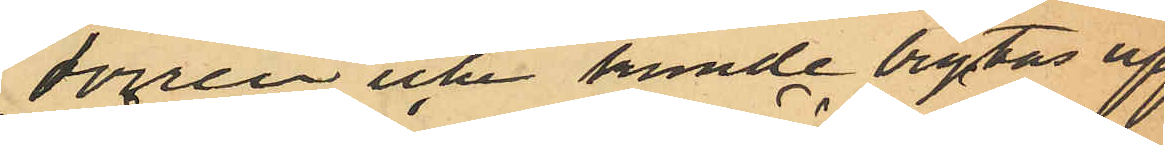dörren icke kunde brytas upp
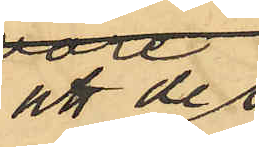att de 
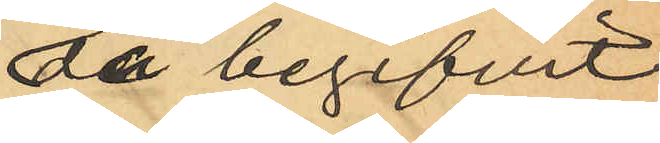då begifvit
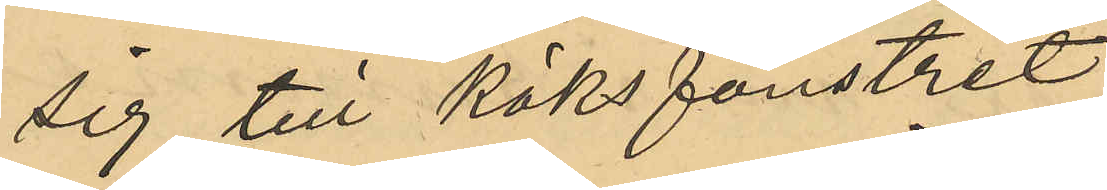sig till köksfönstret
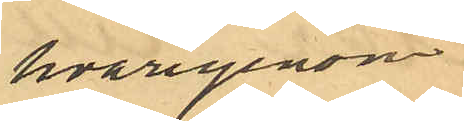hvarigenom
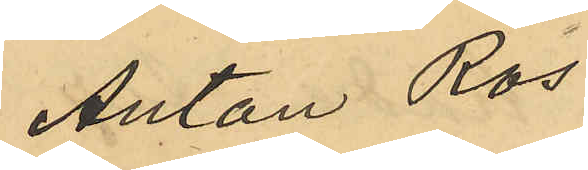Anton Ros
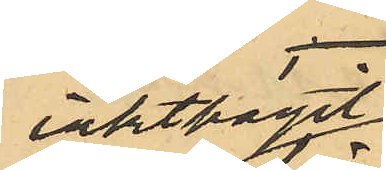iakttagit
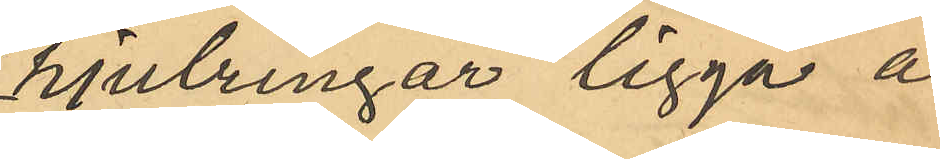hjulringar ligga å
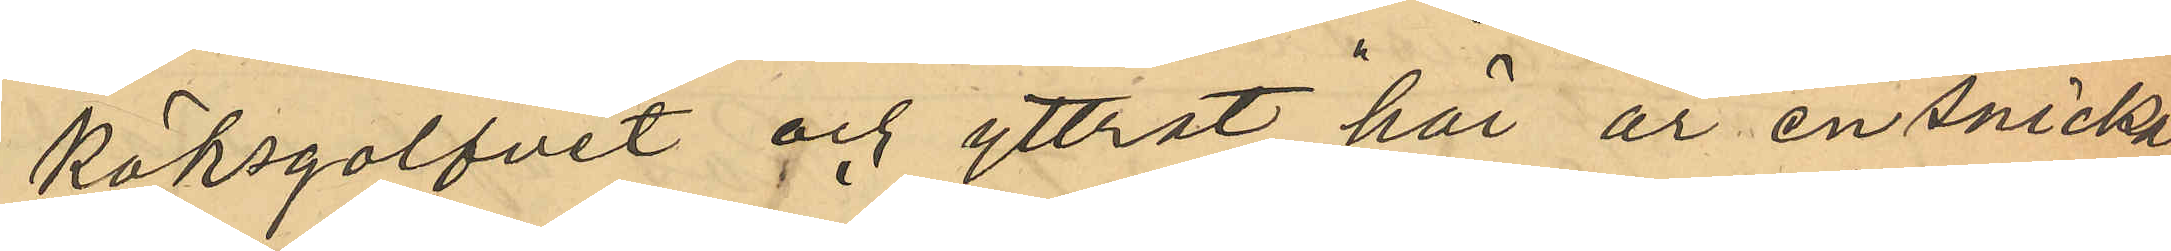köksgolfvet och yttrat "här är en snickare"
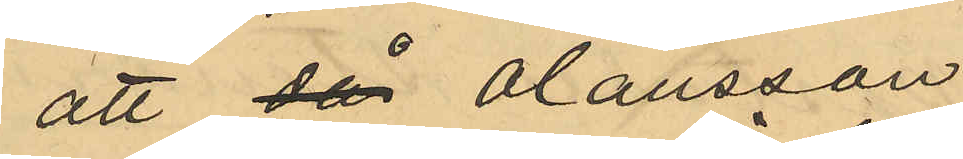att då Olausson
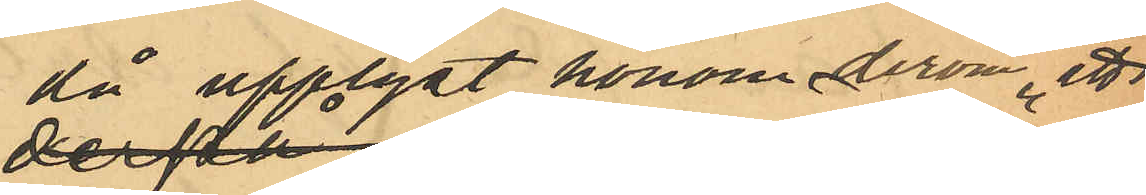då upplyst honom derom att
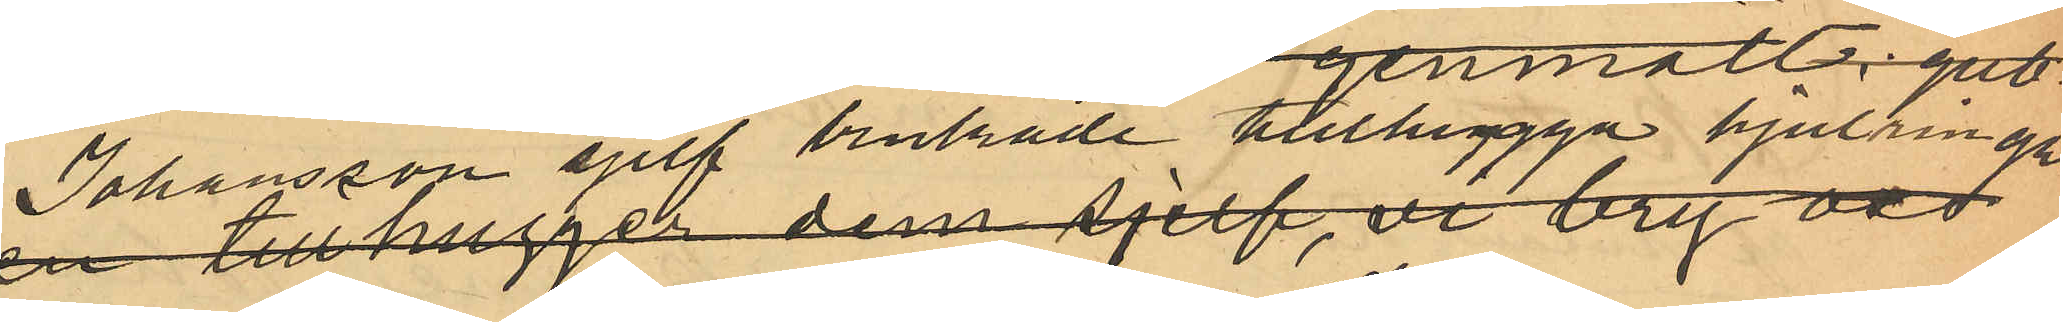Johansson sjelf brukade tillhugga hjulringar
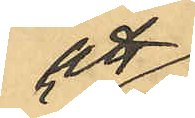att
